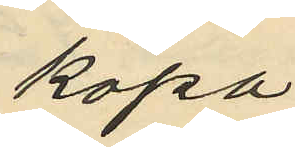köpa
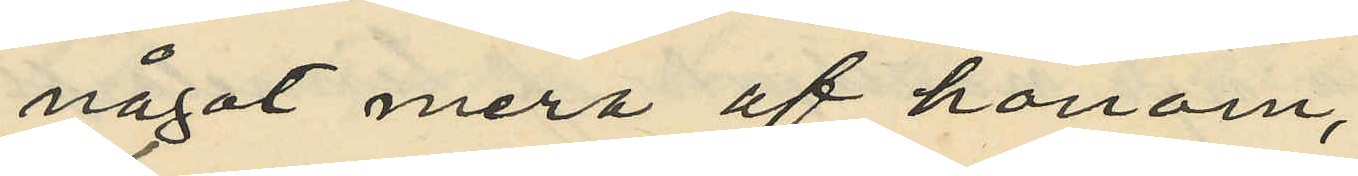något mera af honom,
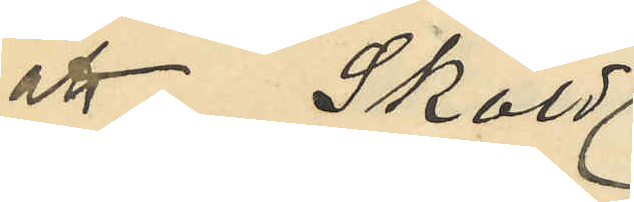att Sköld
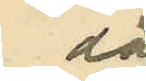då
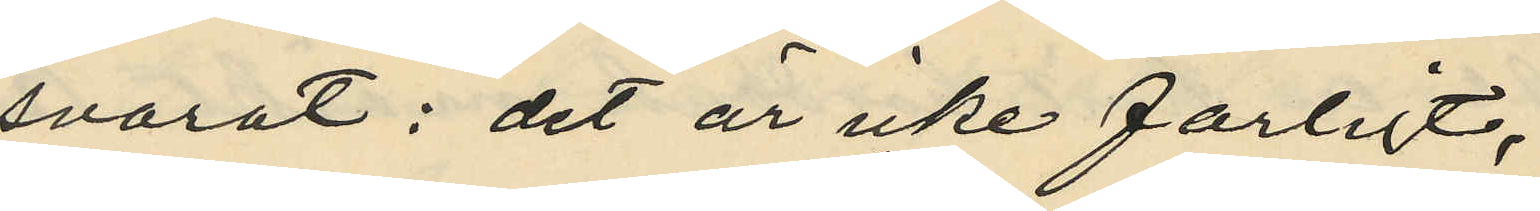svarat: "det är icke farligt,
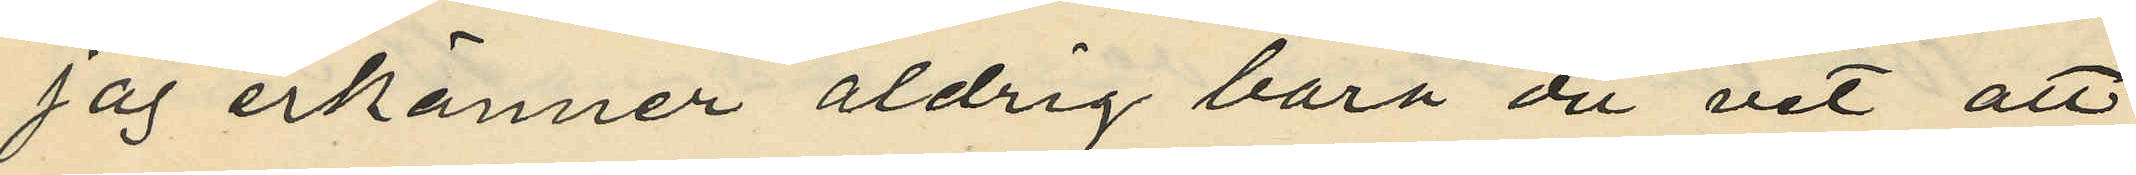jag erkänner aldrig bara du vet att
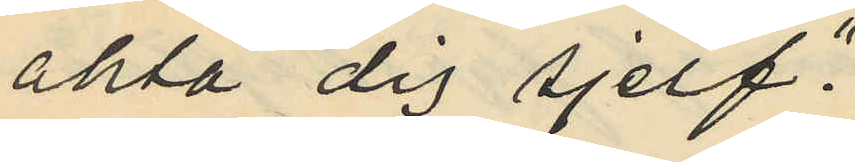akta dig sjelf."
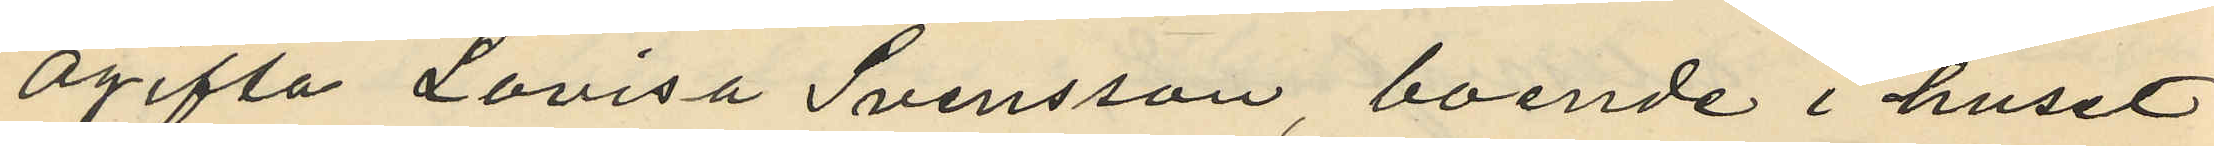Ogifta Lovisa Svensson boende i huset
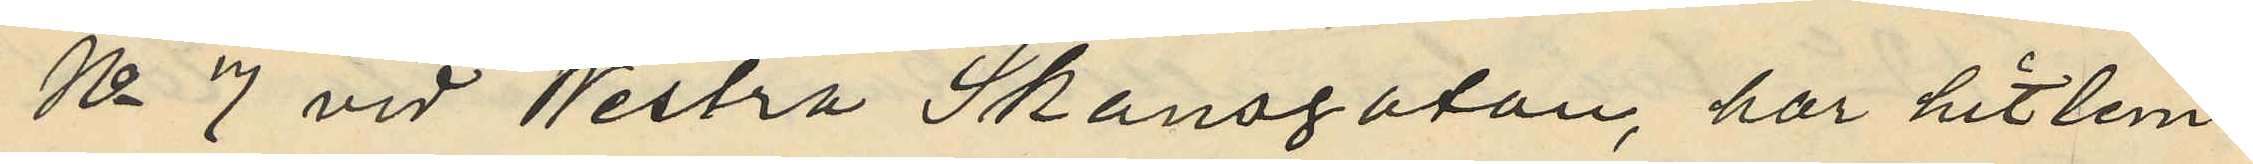No 7 vid Westra Skansgatan, har hitlem¬
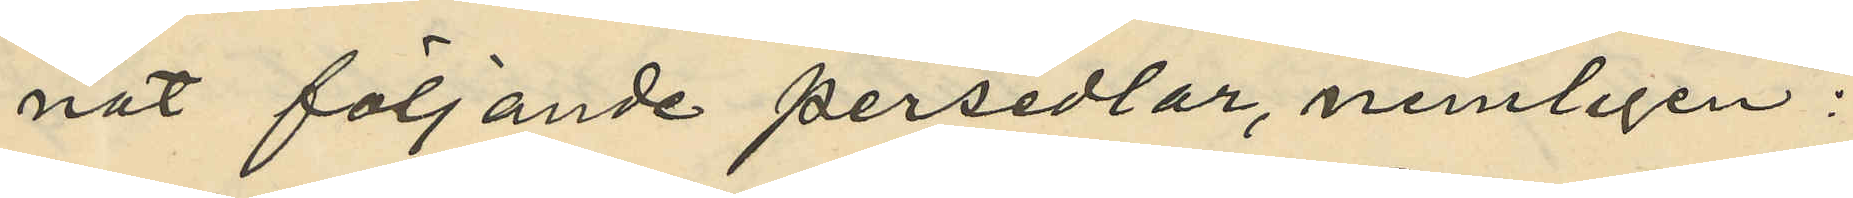nat följande persedlar, nemligen:
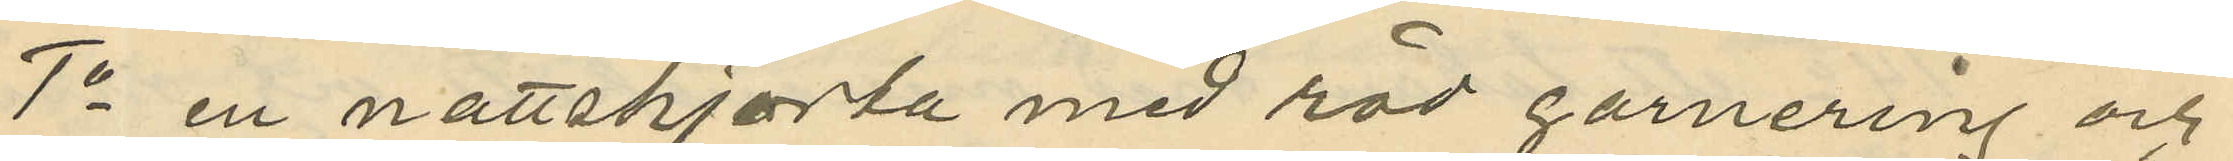1o en nattskjorta med röd garnering och
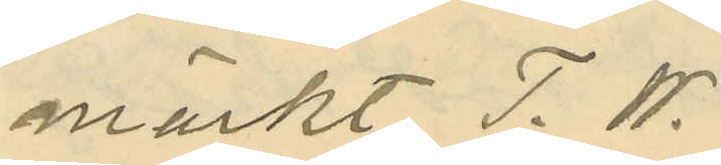märkt T. W.
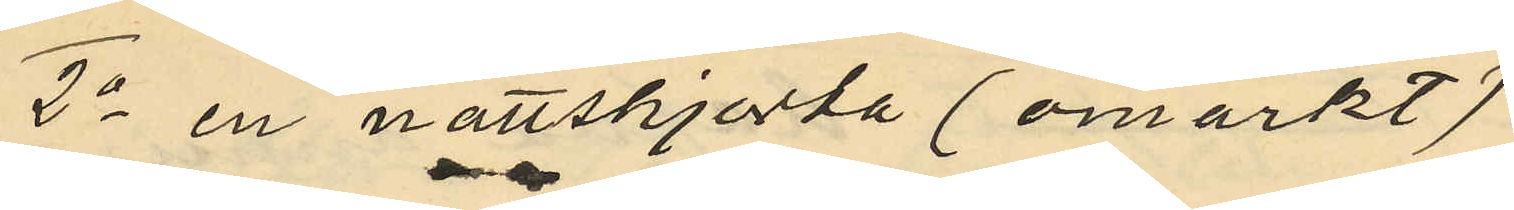2o en nattskjorta (omärkt)
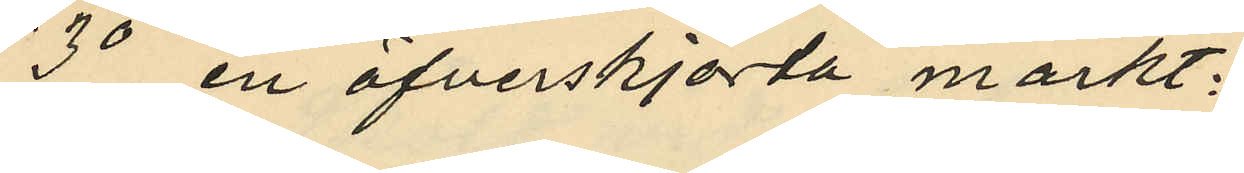3o en öfverskjorta märkt;
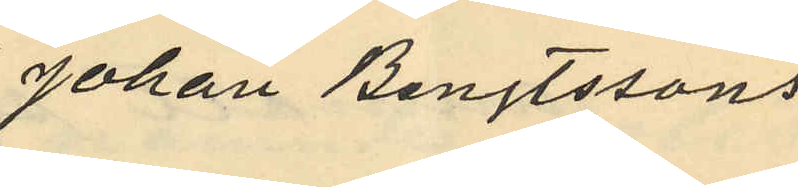"Johan Bengtssons
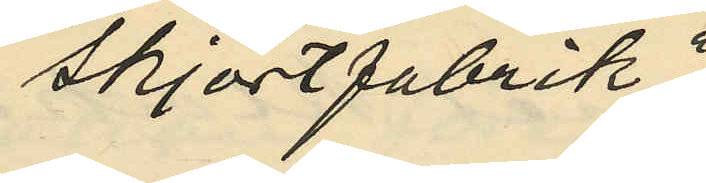skjortfabrik"
